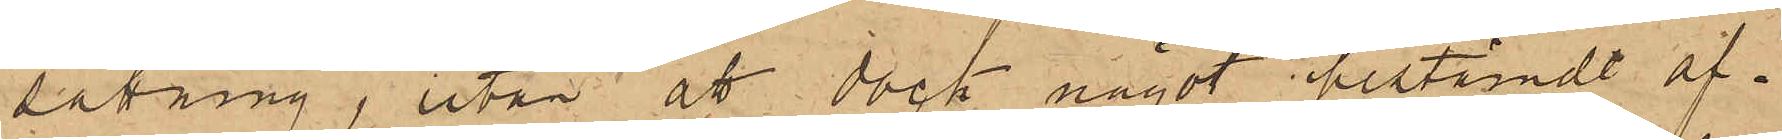sättning, utan åt dock något bestämdt af¬
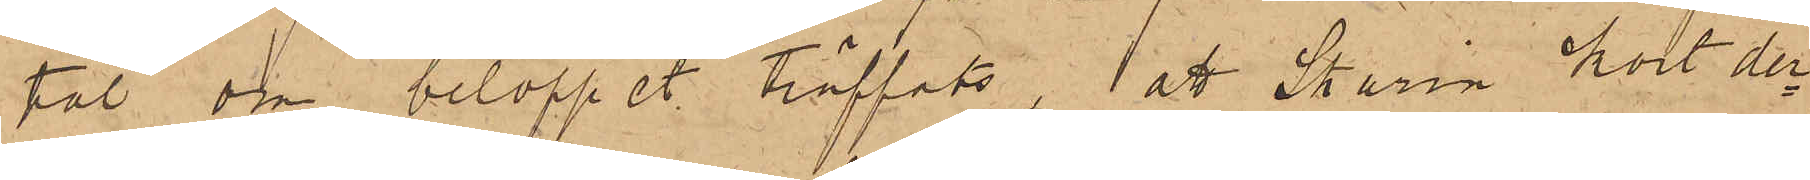tal, om beloppet träffats, att Skarin kort der¬
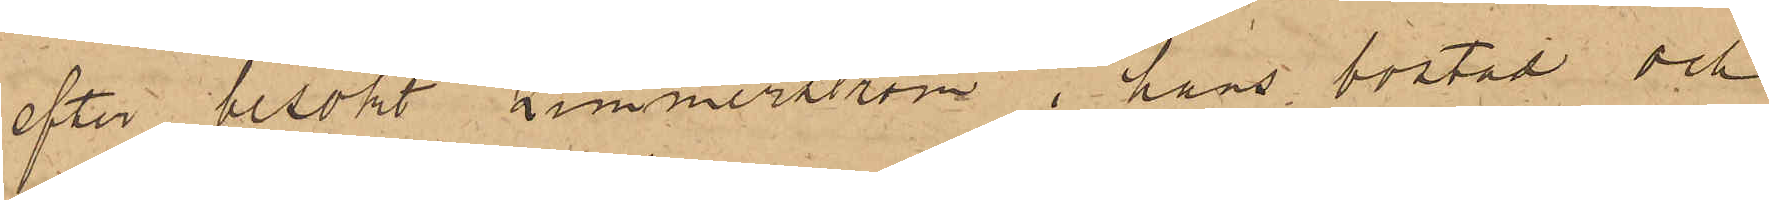efter besökt Zimmerström i hans bostad och
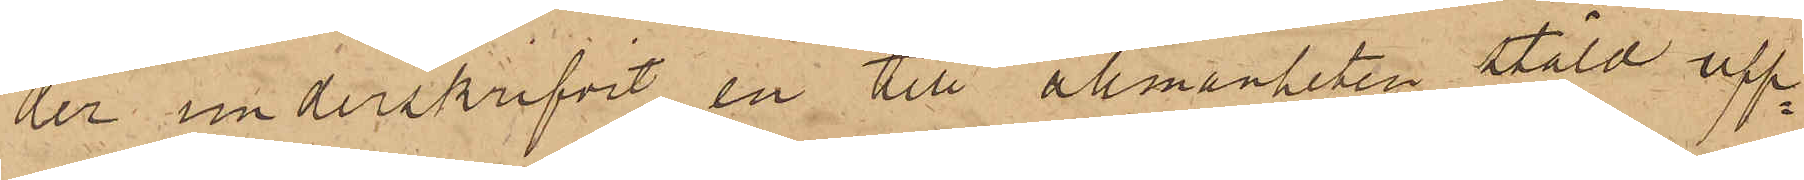der underskrifvit en till allmänheten stäld upp¬
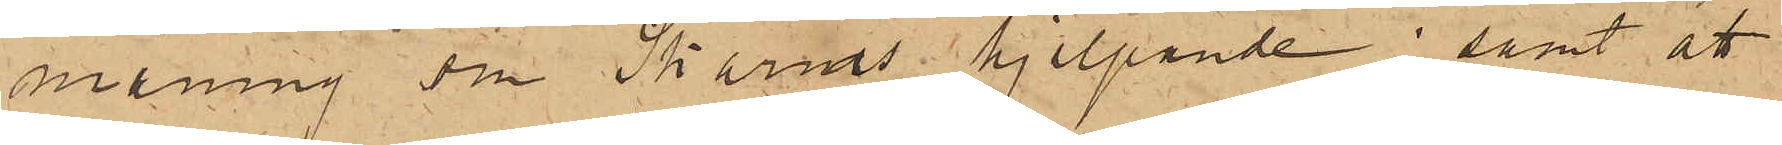maning om Skarins hjelpande; samt att
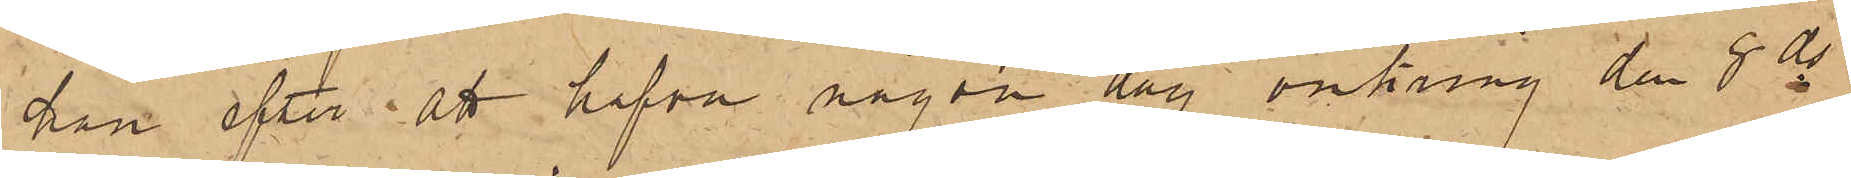han efter att hafva någon dag omkring den 8 ds
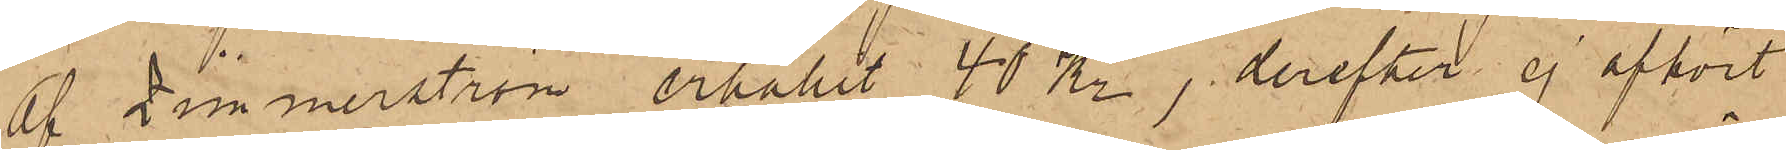af Zimmerström erhållit 40 Kr, derefter ej afhört
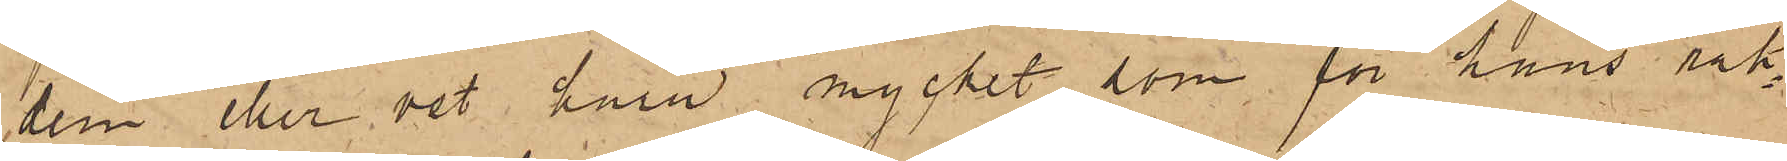dem eller vet huru mycket som för hans räk¬
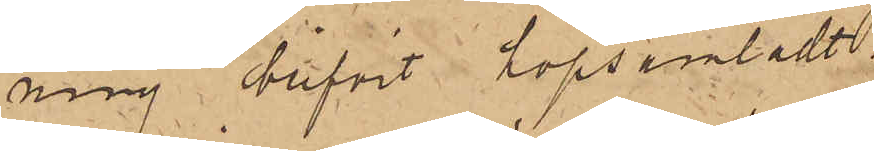ning blifvit hopsamladt.
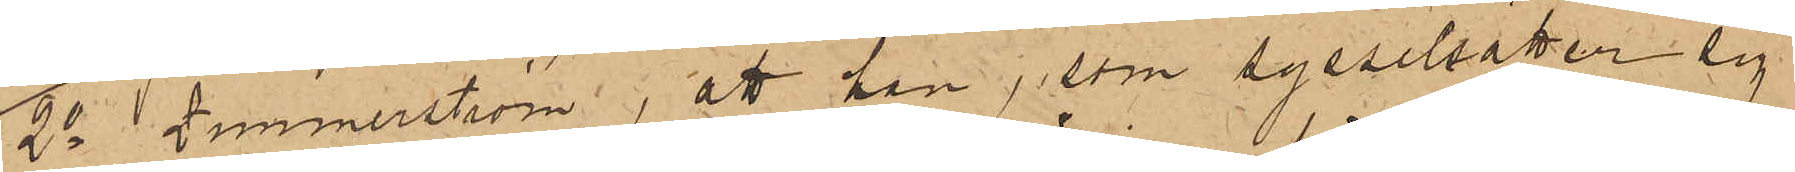2o Zimmerström, att han, som sysselsätter sig
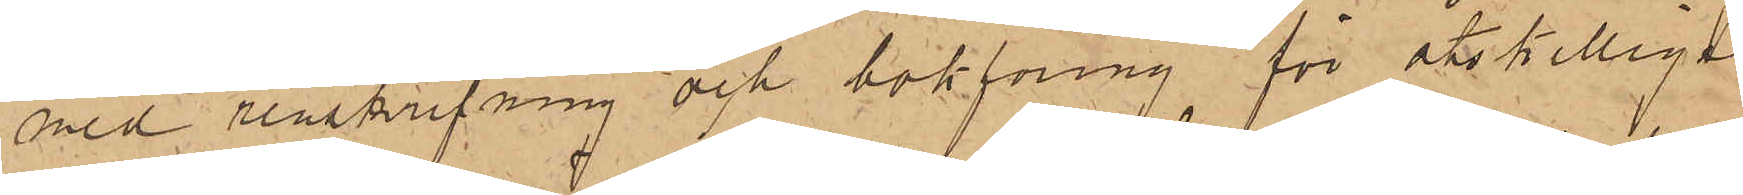med renskrifning och bokföring för åtskilliga
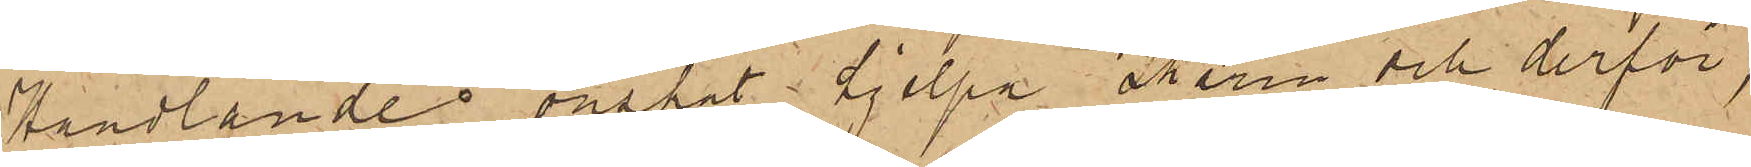Handlande önskat hjelpa Skarin och derför,
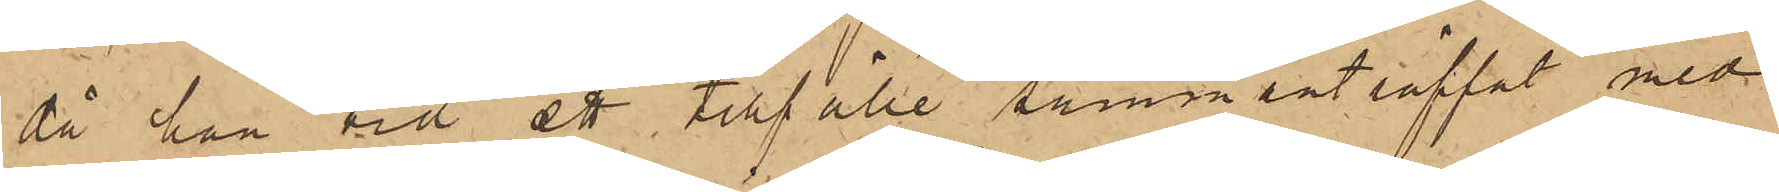då han vid ett tillfälle sammanträffat med
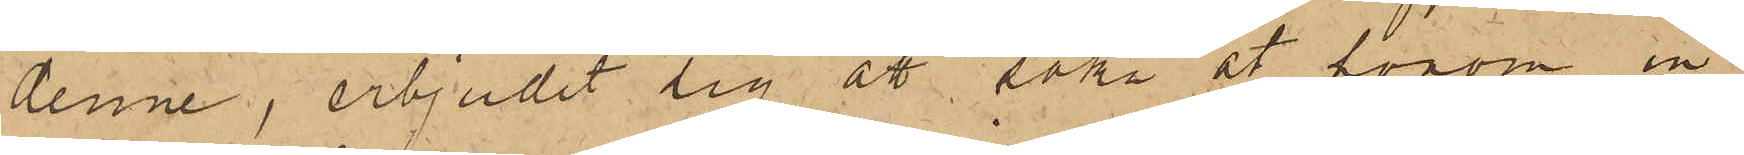denne, erbjudit sig att söka åt honom in¬
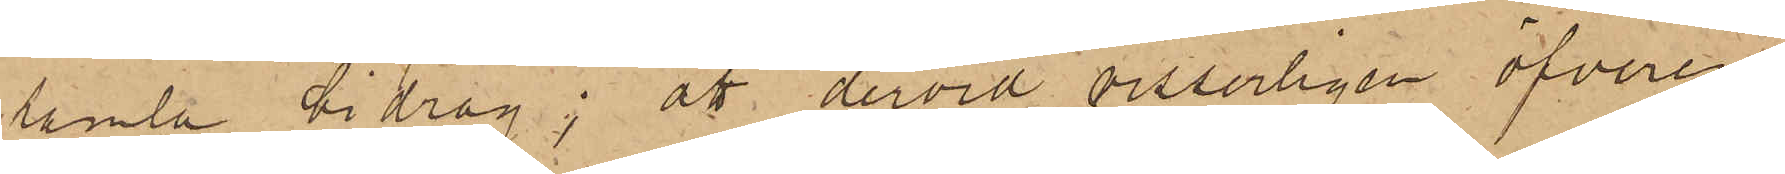samla bidrag; att dervid visserligen öfverens¬
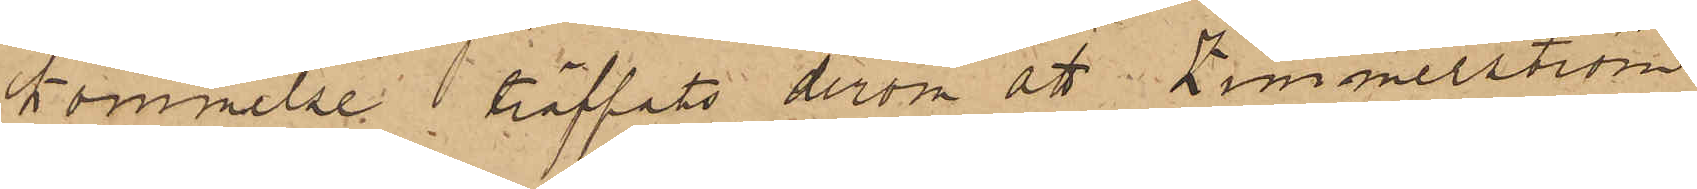kommelse träffats derom att Zimmerström
